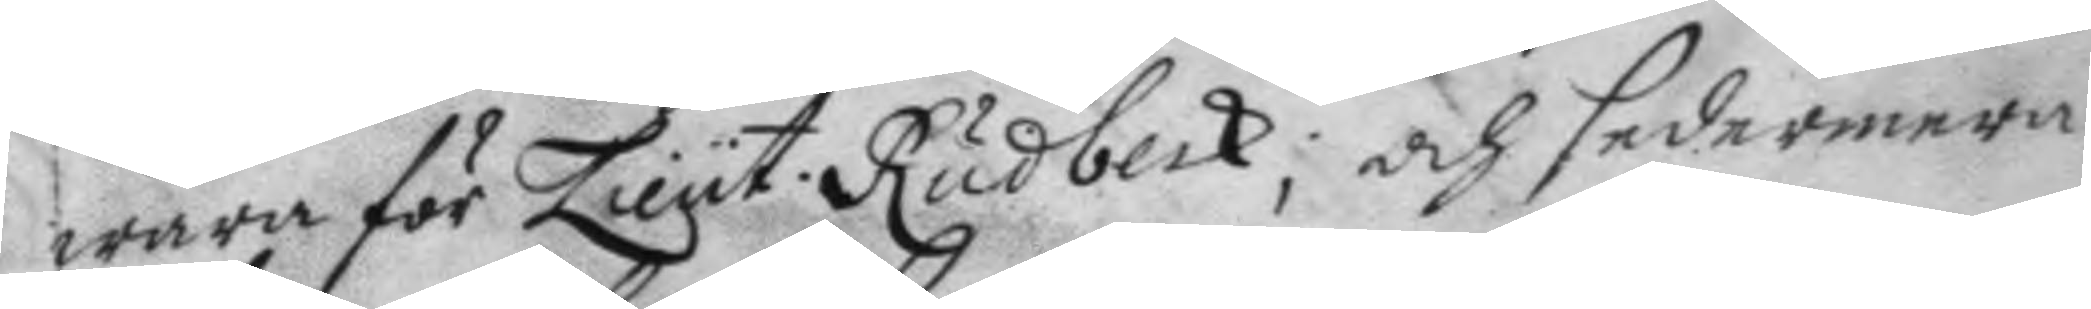wara för Lieut: Rudbeck; och sedermera 
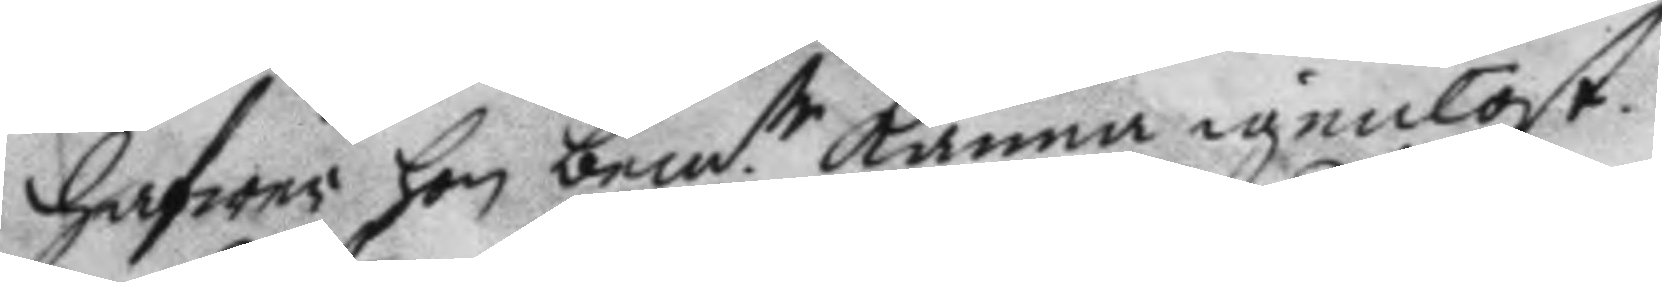hafwer hon bem:te kanna igenlöst. 
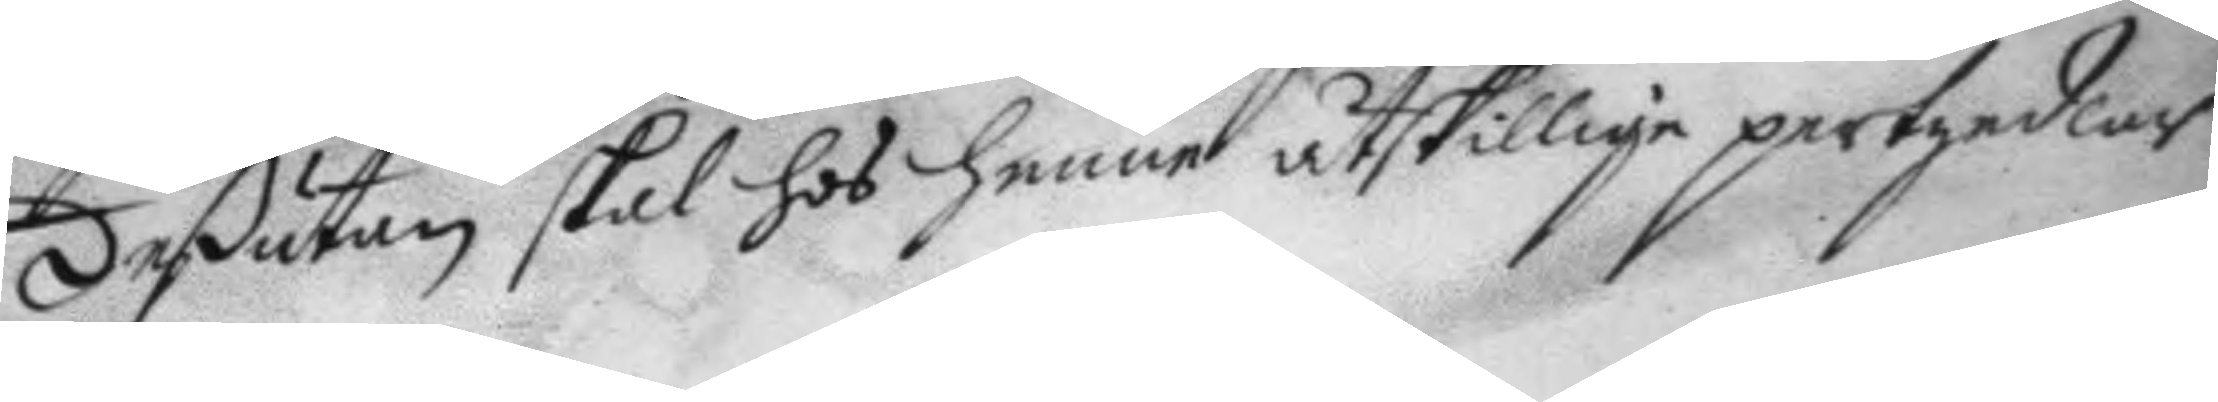deßutan skal hos henne åtskillige pertzedlar
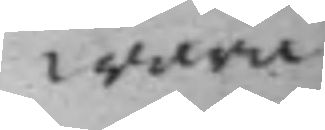wara
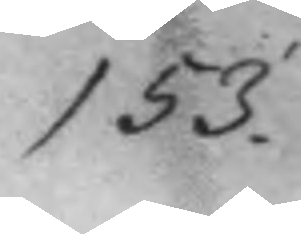153.
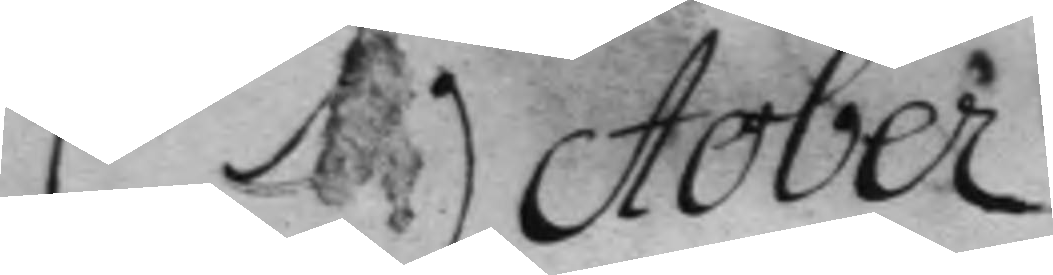October
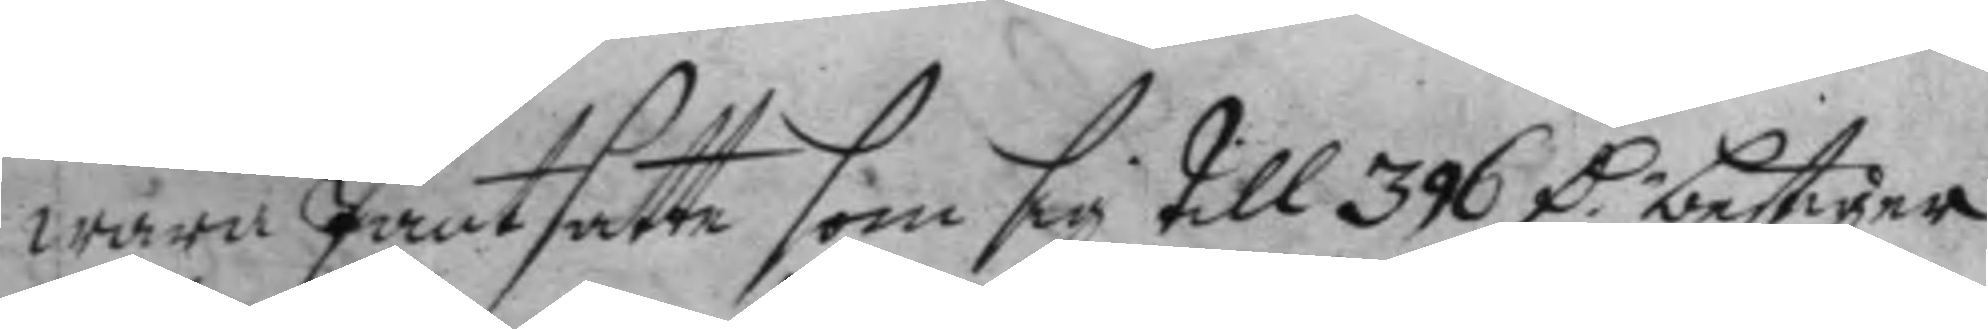wara Pantsatte som sig till 396 D.r bestiger 
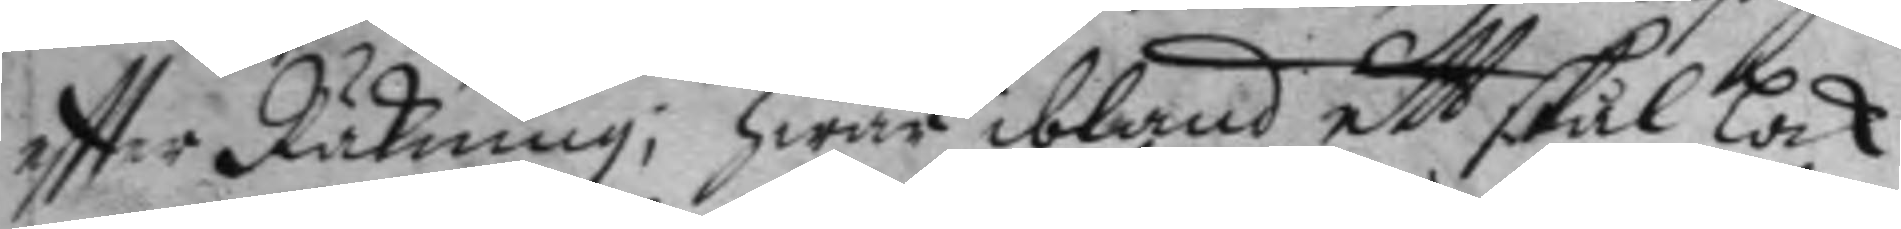eftter Räkning, hwar ibland ett skål lock
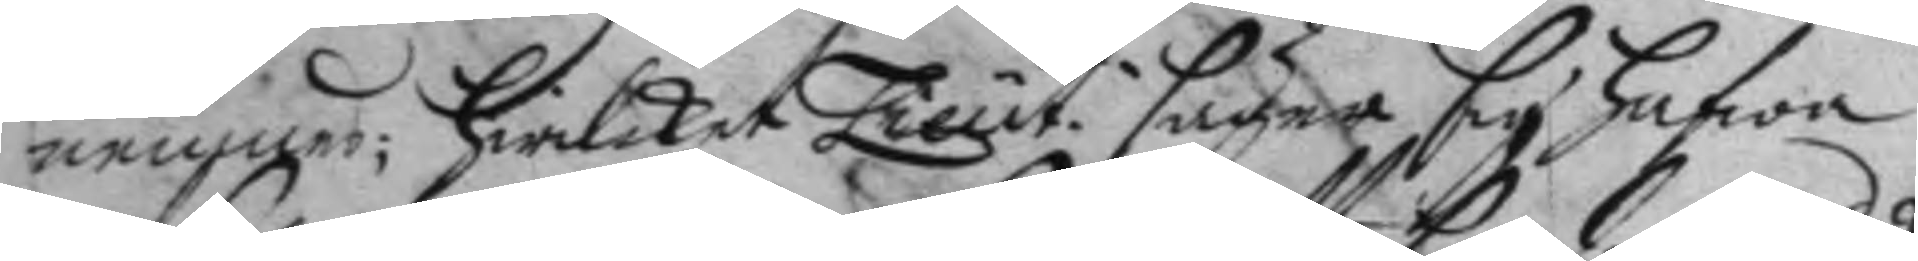nemnes; hwilket Lieut. säger sig hafwa
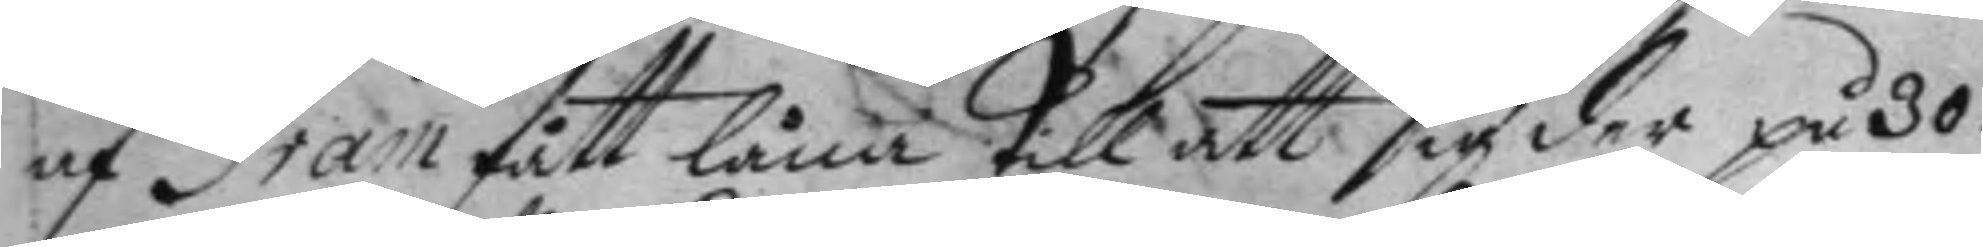af Gram fått låna till att sig der på 30
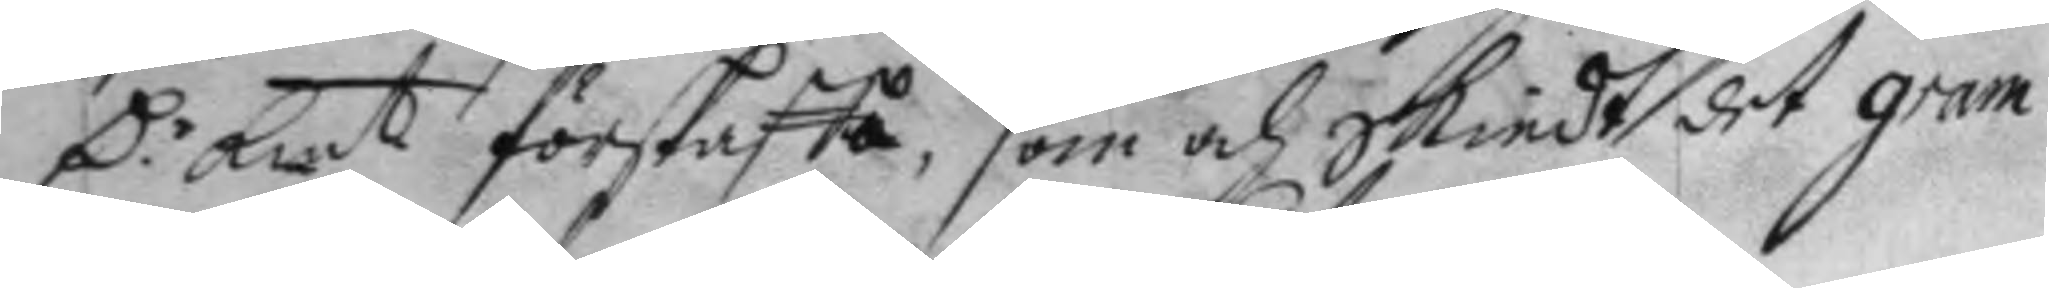D:r Kmt förskaffa, som och skiedt det gram 
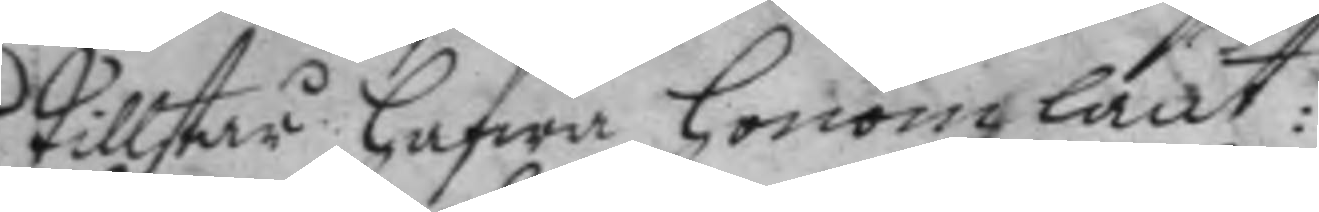Tillstår hafwa honom lånt:
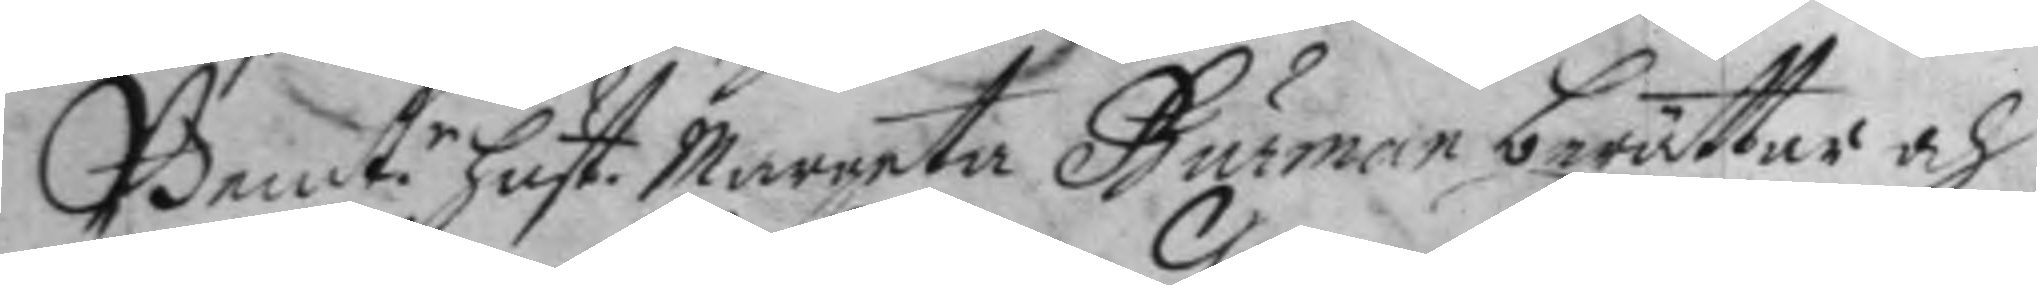Bemt.e hust Margeta Burman berättar och 
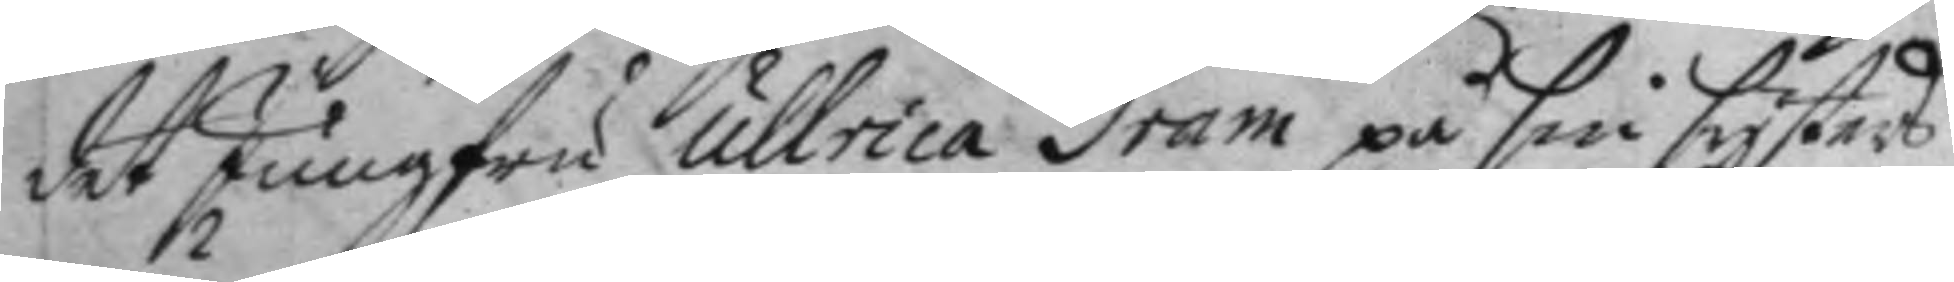det Jungfru ullrica Gram på sin systers
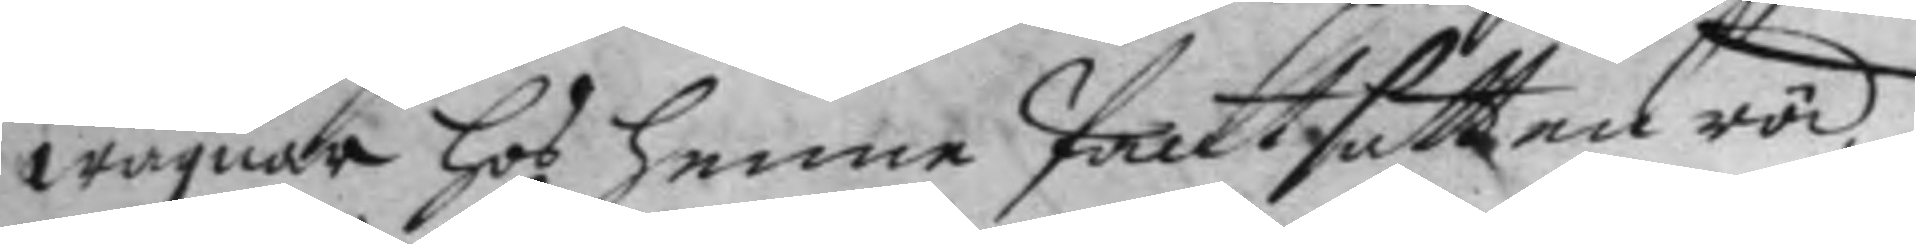wägnar hos henne Pantsatt en röd
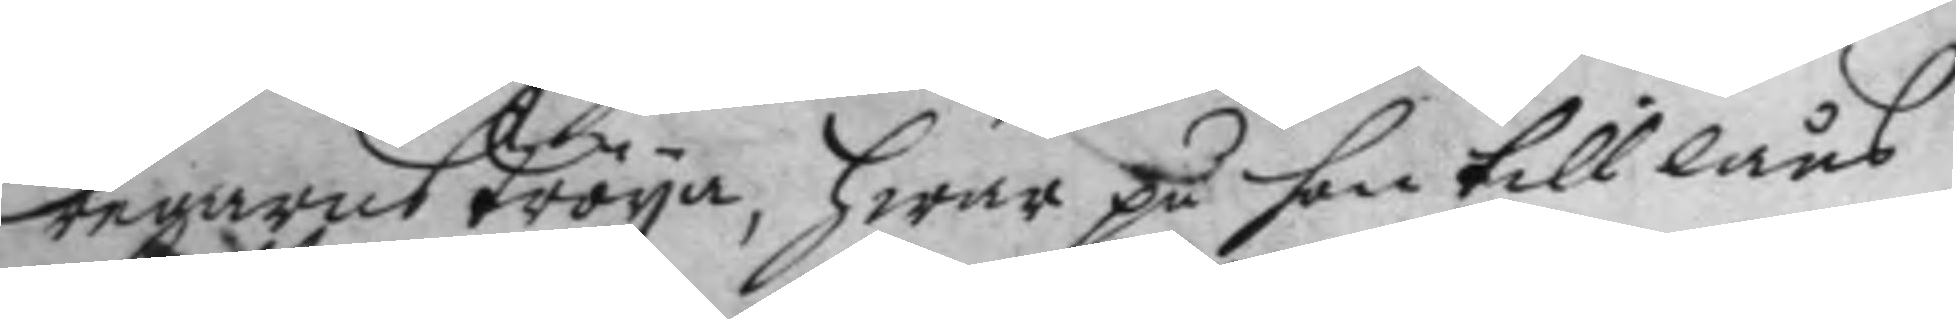regarns Tröya, hwar på hon till låns
